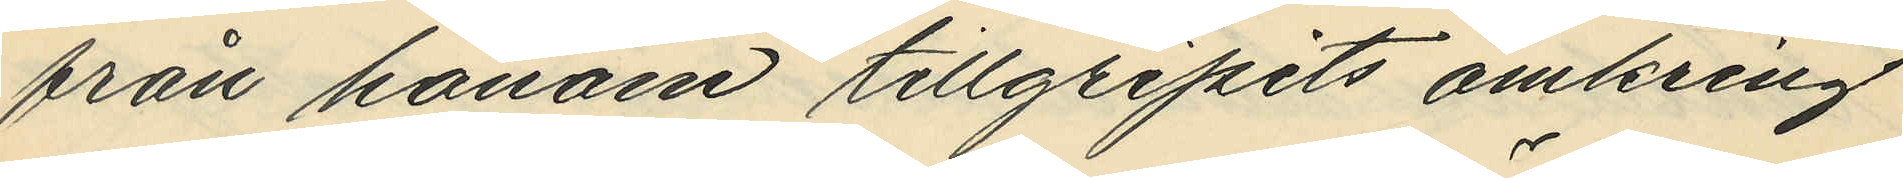från honom tillgripit omkring
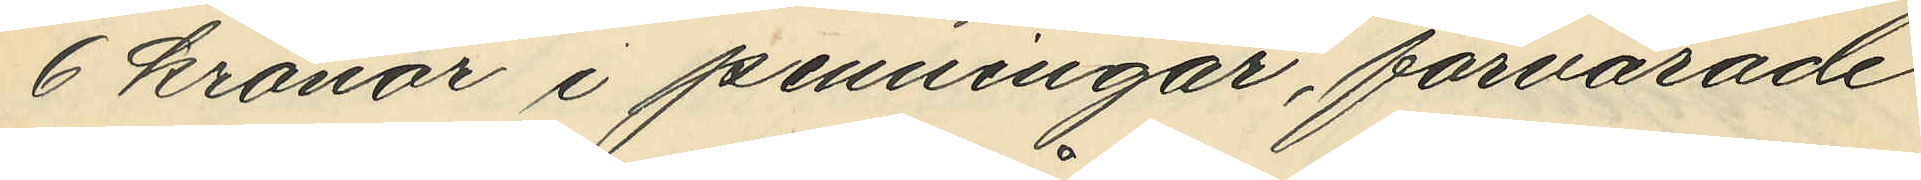6 kronor i penningar, förvarande
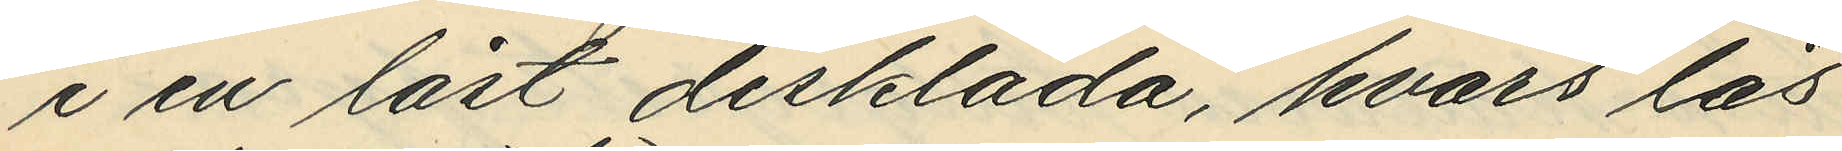i en låst disklåda, hvars lås
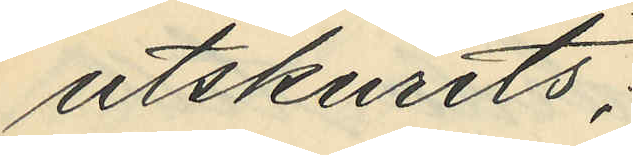utskurits;
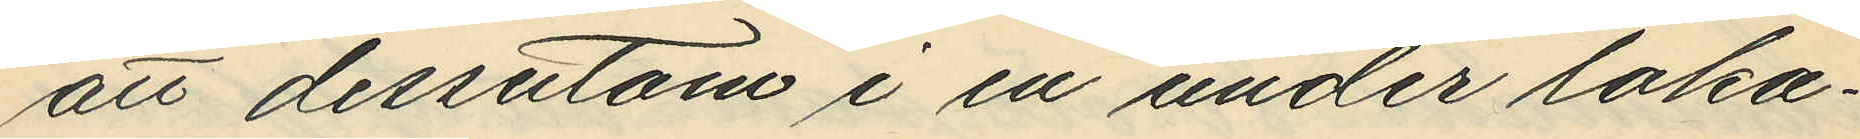att dessutom i en under loka¬
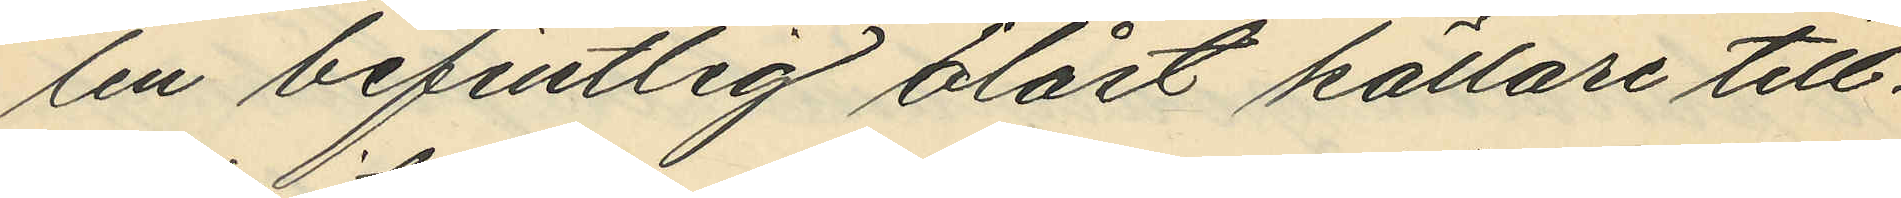len befintlig olåst källare till¬
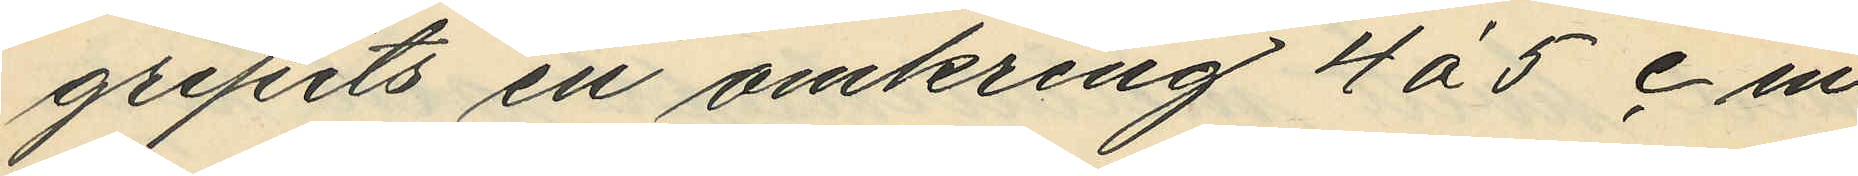gripits en omkring 4 á 5 cm
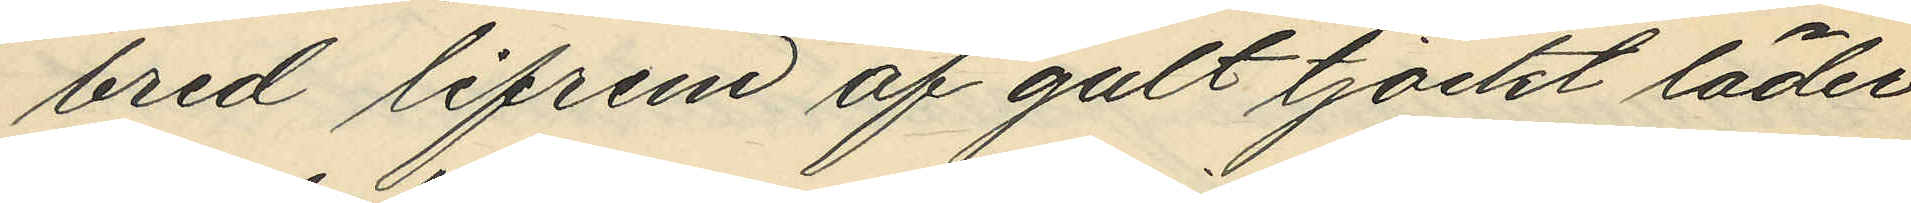bred lifrem af gult tjockt läder
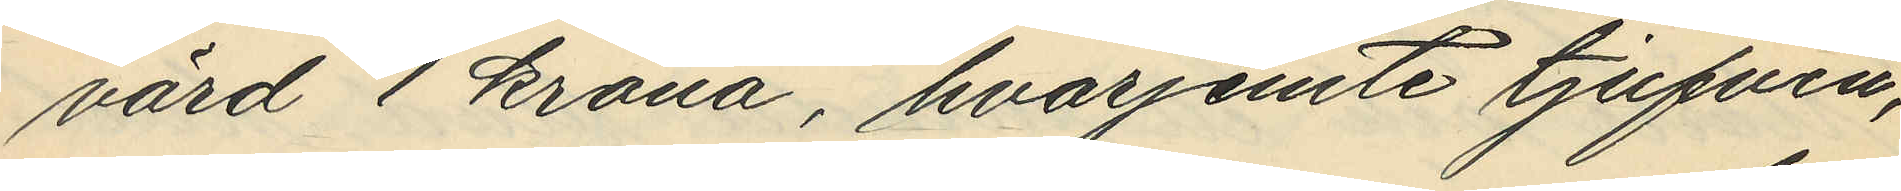värd 1 krona, hvarjemte tjufven,
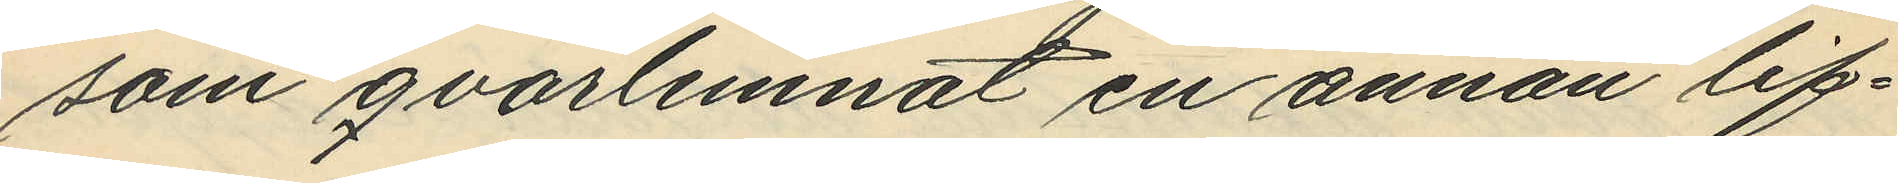som qvarlemnat en annan lif¬
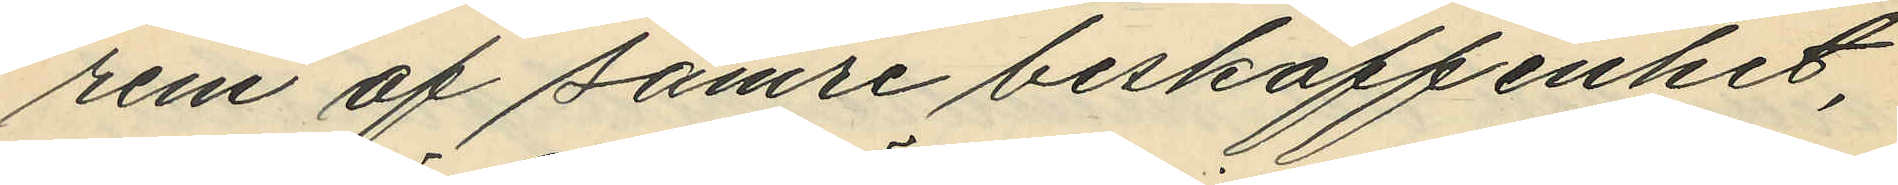rem af sämre beskaffenhet,
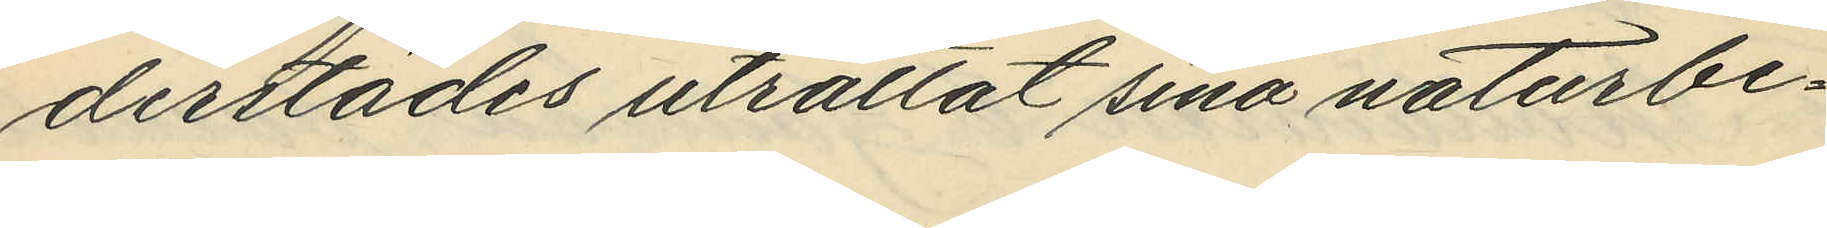derstädes uträttat sina naturbe¬
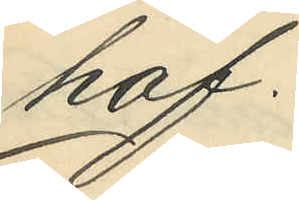hof.
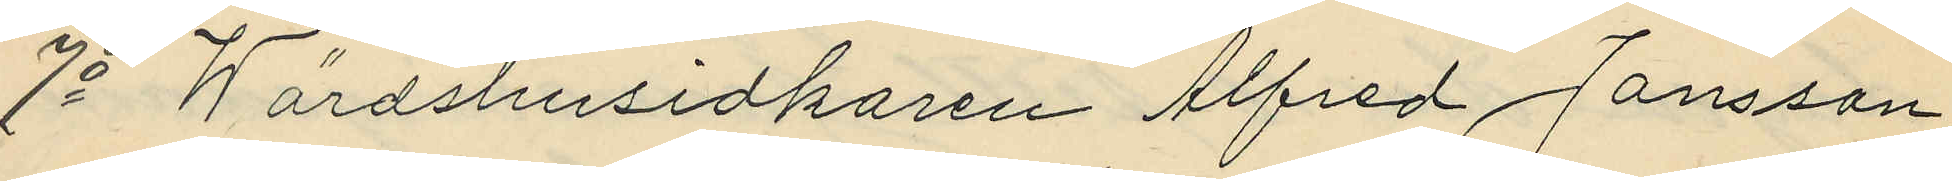7o Wärdshusidkaren Alfred Jansson
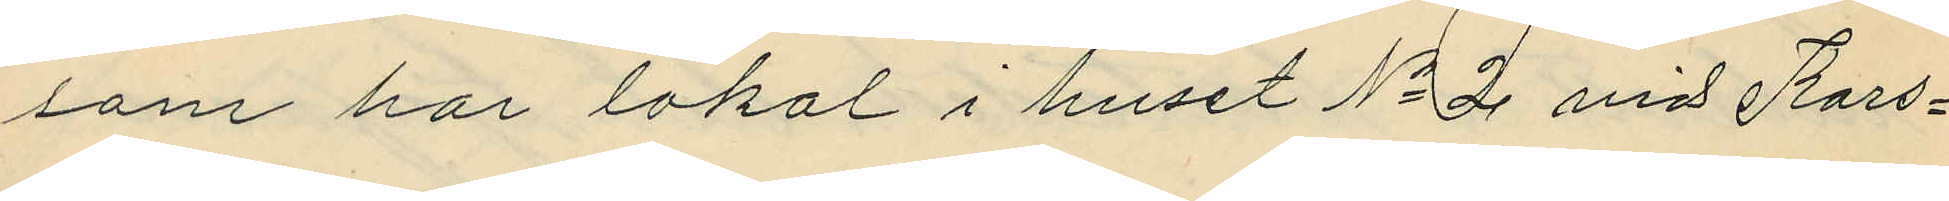som har lokal i huset No 2 vid Kors¬
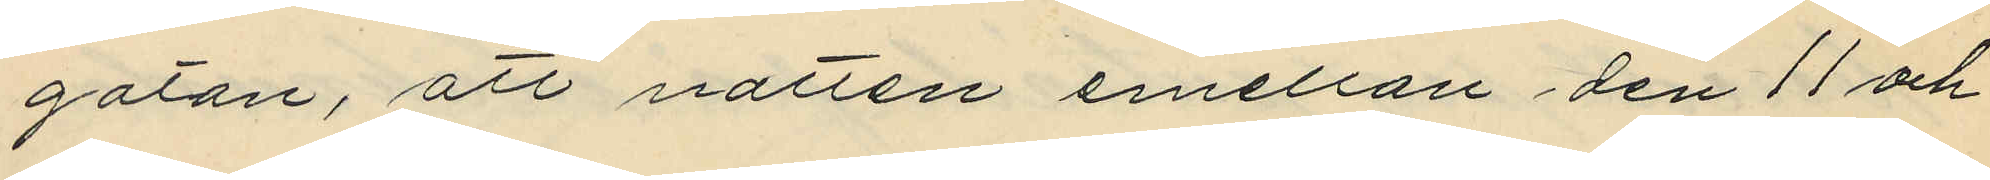gatan, att natten emellan den 11 och
